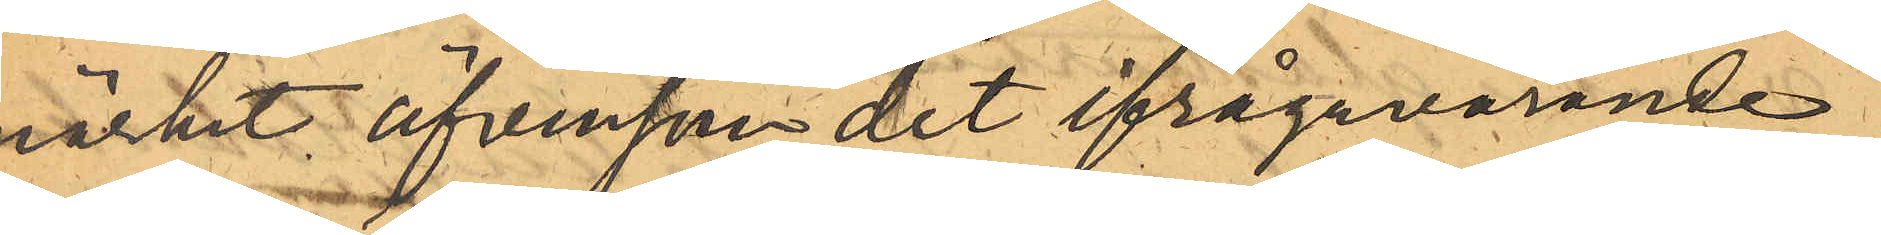märket, äfvensom det ifrågavarande
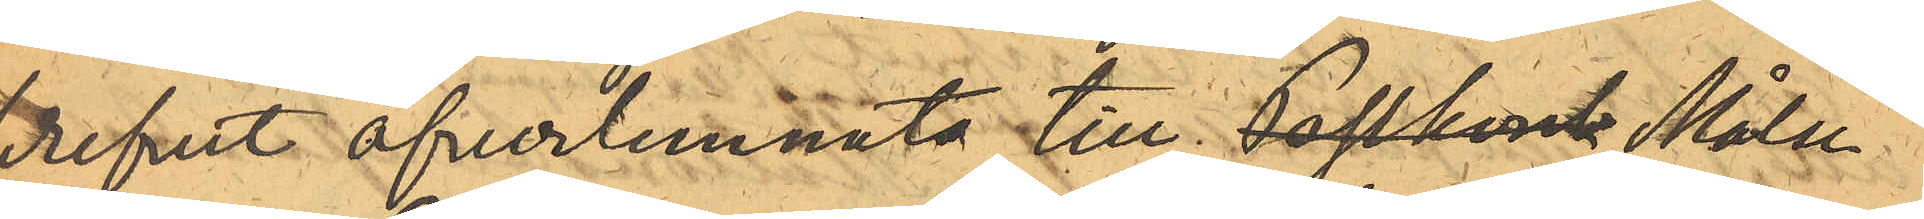brefvet öfverlemnats till Postkont Målse¬
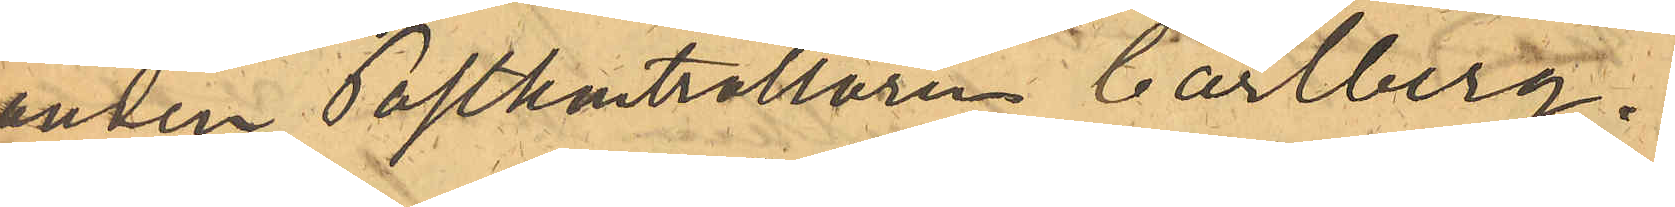ganden Postkontrollören Carlberg.
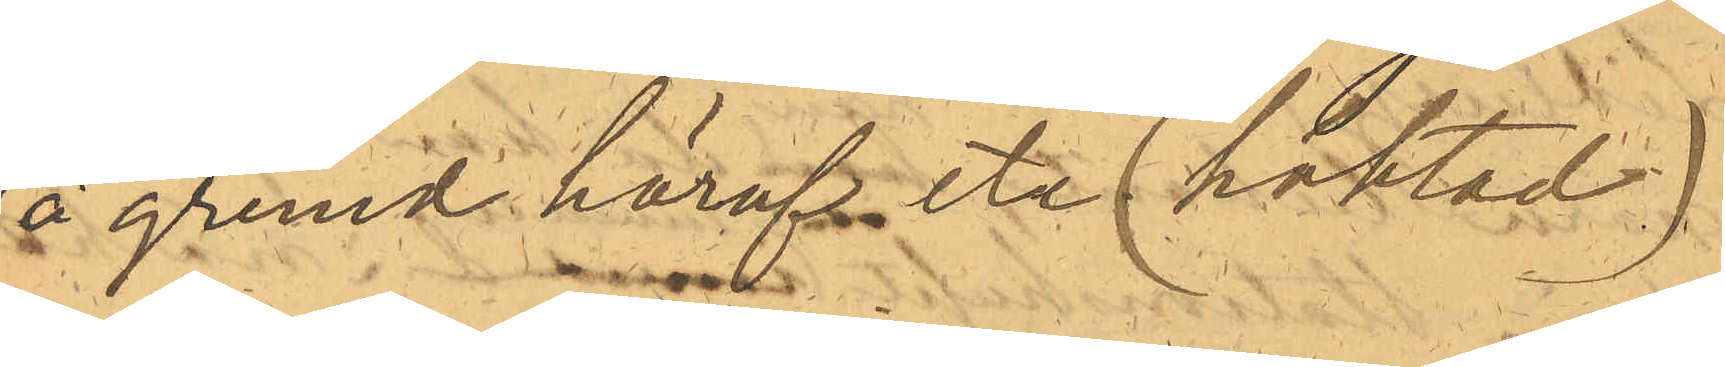På grund häraf etc (häktad)
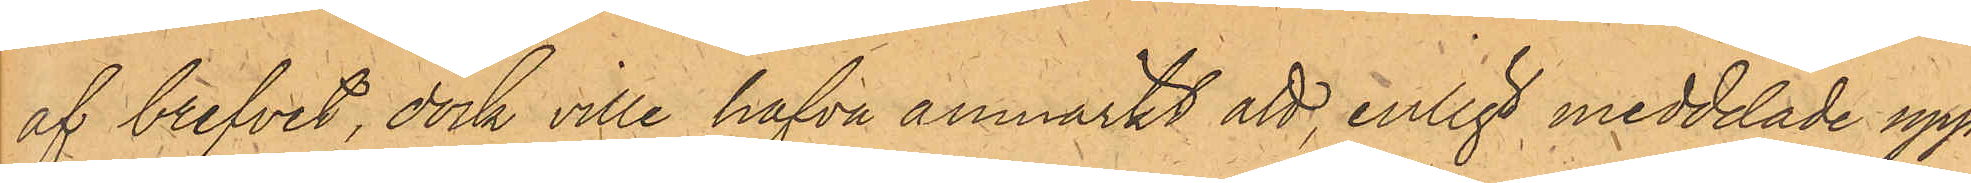af brefvet, dock ville hafva anmärkt att, enligt meddelade upp¬
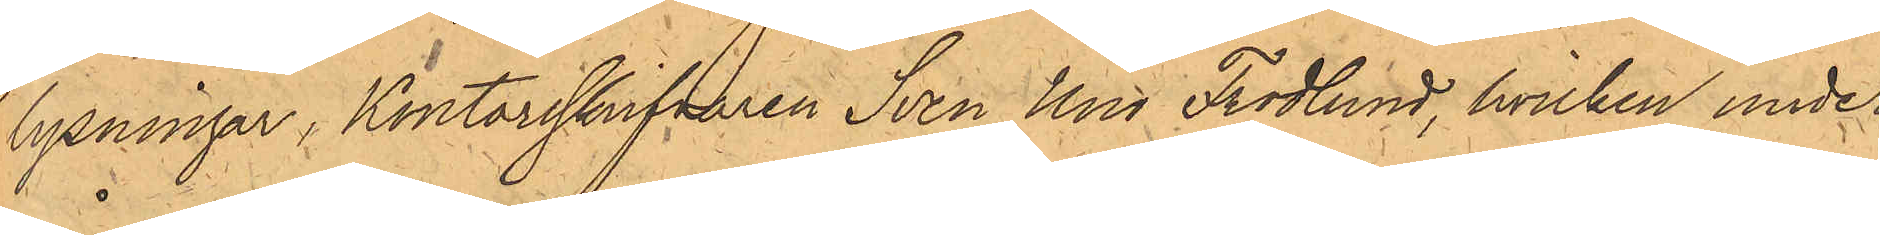lysningar, Kontorsskrifvaren Sven Uno Frodlund, hvilken under
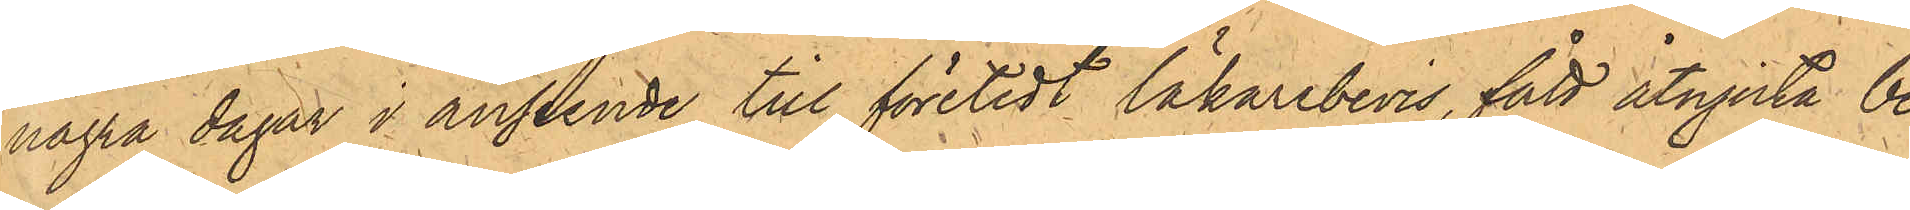några dagar i anseende till företedt läkarebevis, fått åtnjuta be¬
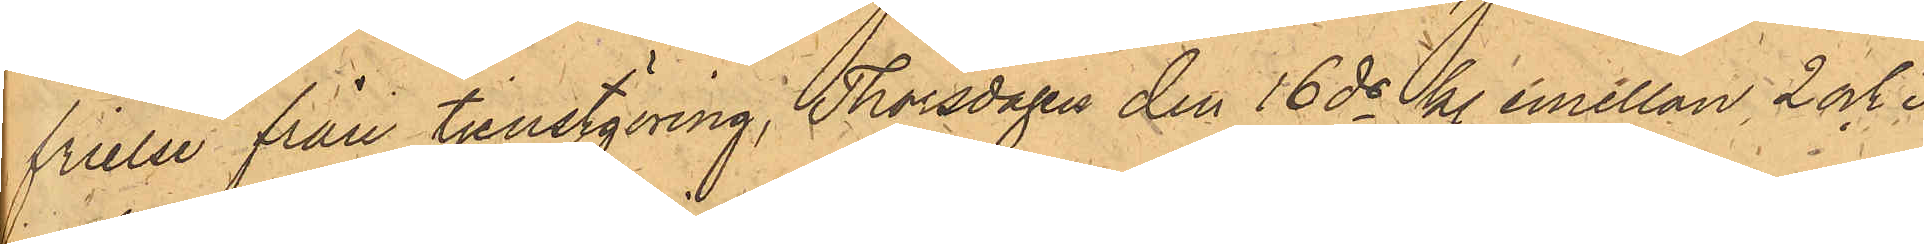frielse från tjenstgöring, Thorsdagen den 16 ds kl. emellan 2 och 3
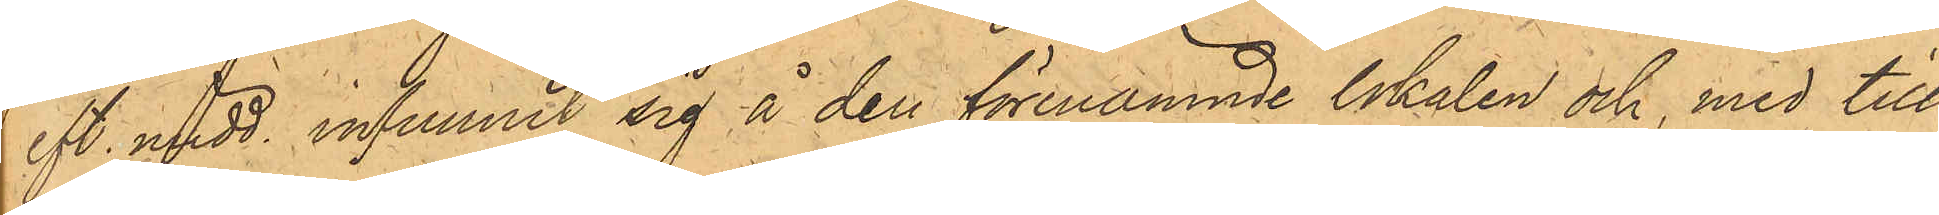eft. midd. infunnit sig å den förenämnde lokalen och, med till¬
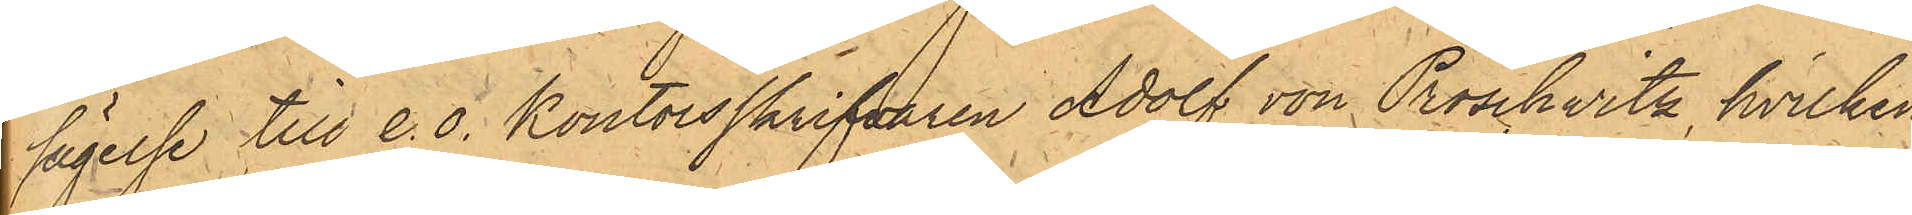sägelse till e.o. Kontorsskrifvaren Adolf von Proschwitz, hvilken
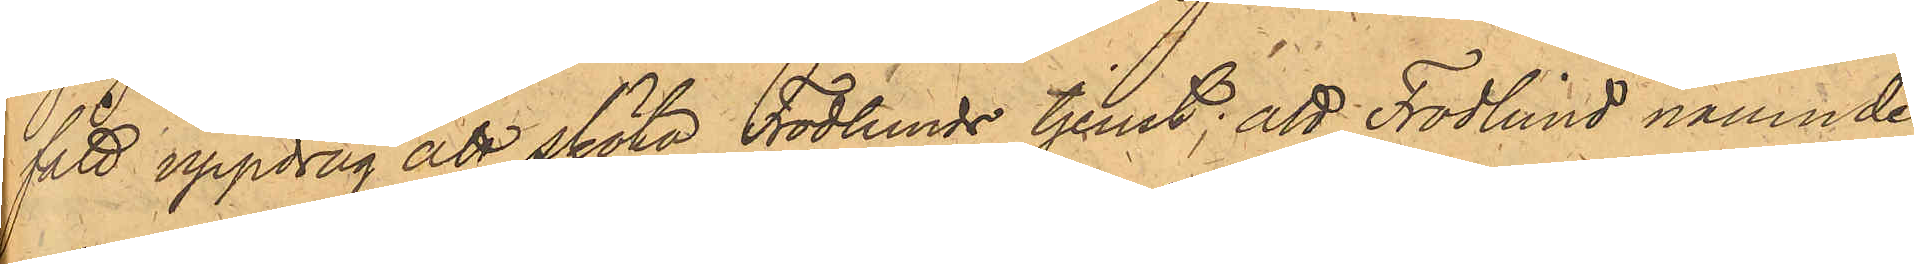fått uppdrag att sköta Frodlunds tjenst; att Frodlund nämnde
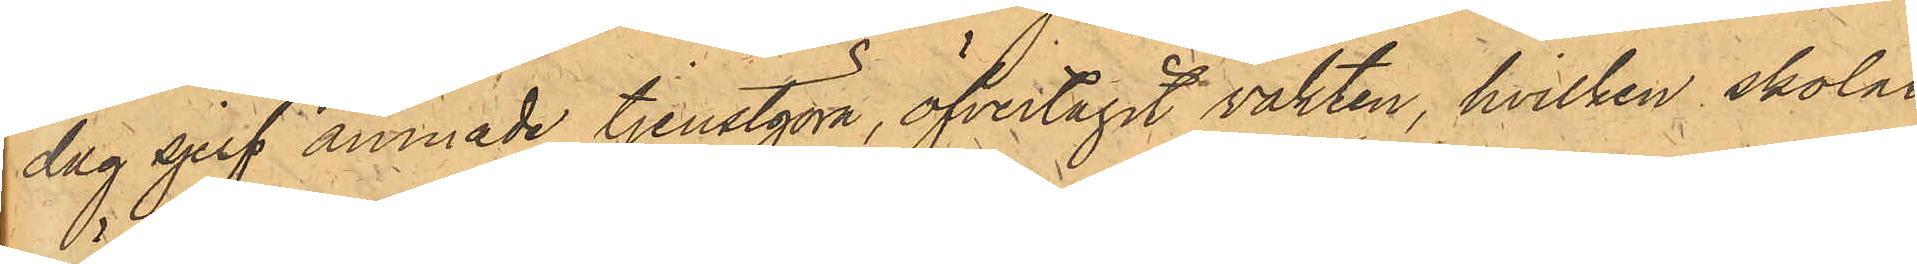dag sjelf ämnade tjenstgöra, öfvertagit vakten, hvilken skolat
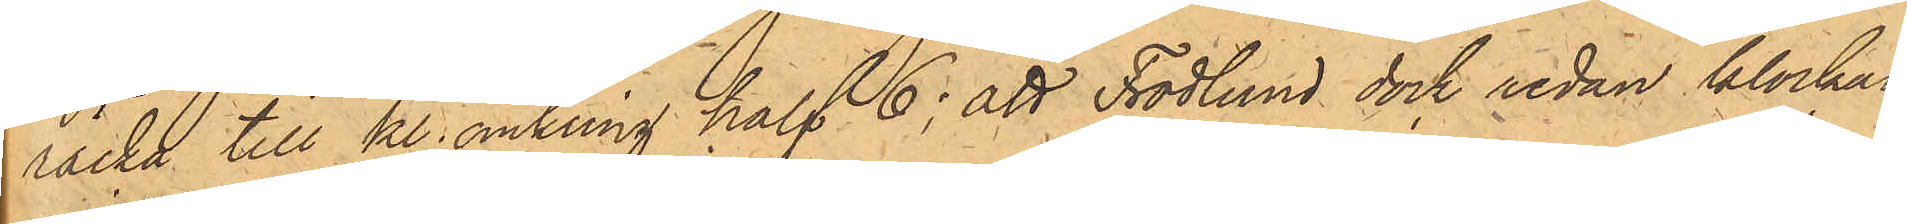räcka till kl. omkring half 6; att Frodlund dock redan klockan
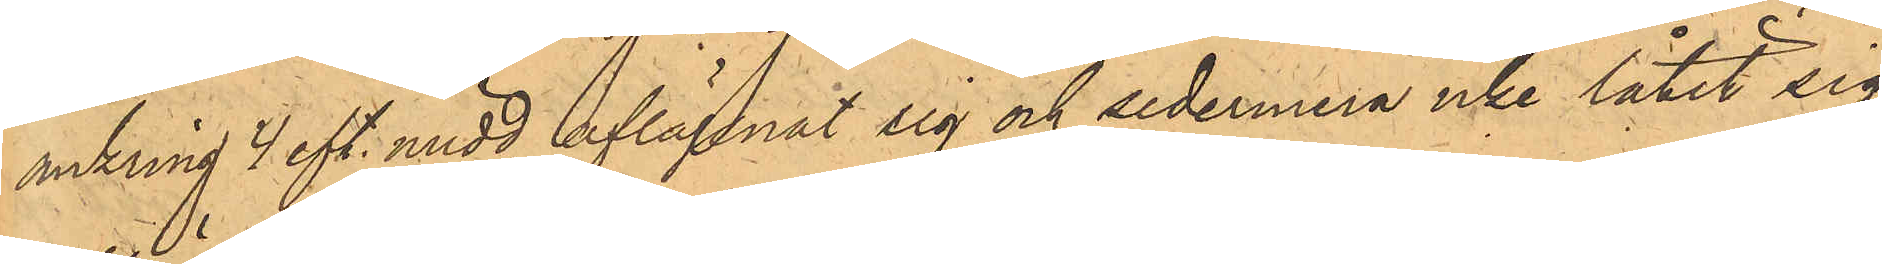omkring 4 eft. midd. aflägsnat sig och sedermera icke låtit sig
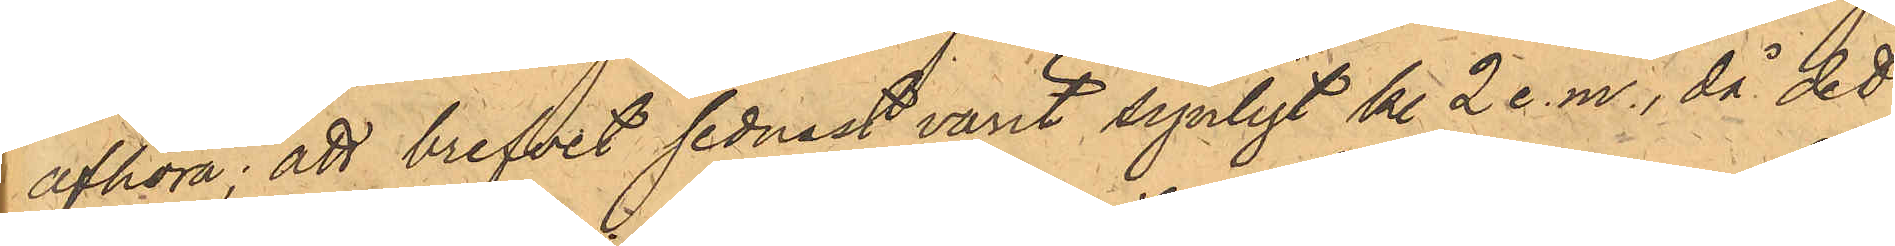afhöra; att brefvet sednast varit synligt kl 2. e.m., då det
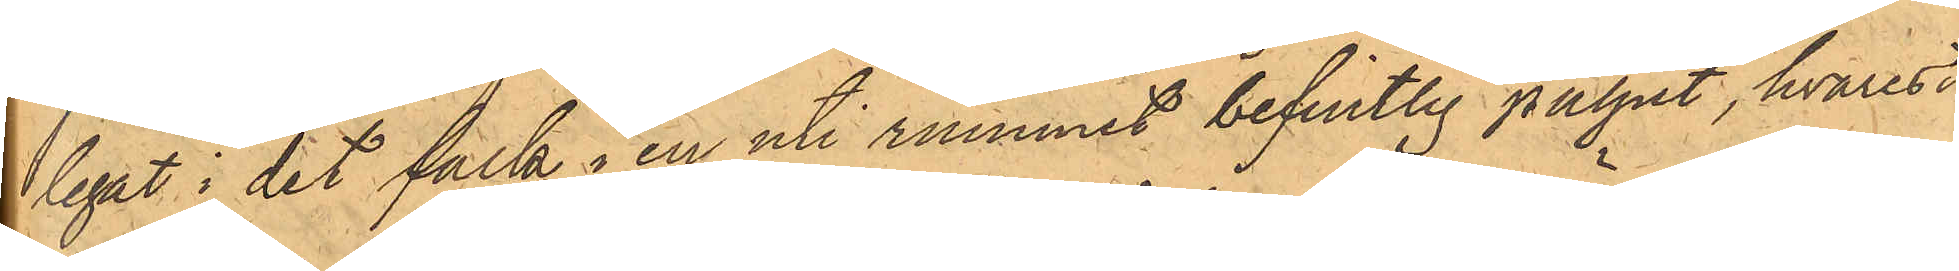legat i det fack i en uti rummet befintlig pulpet, hvarest
